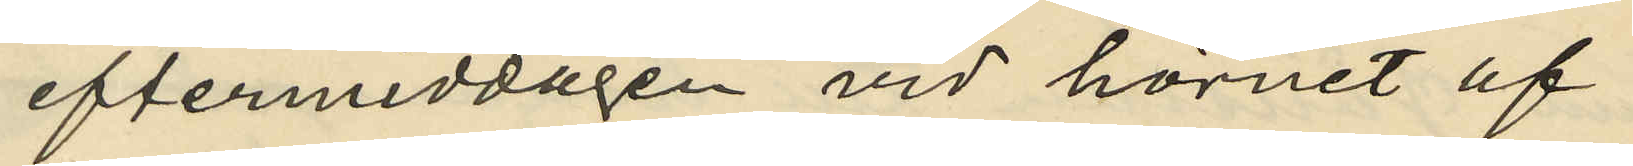eftermiddagen vid hörnet af
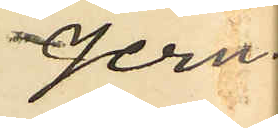Jern¬
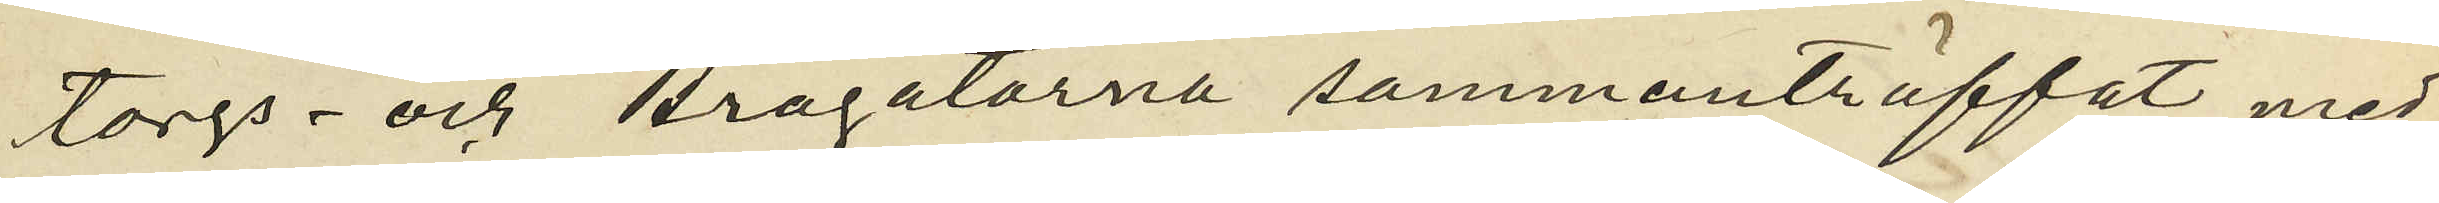torgs- och Brogatorna sammanträffat med
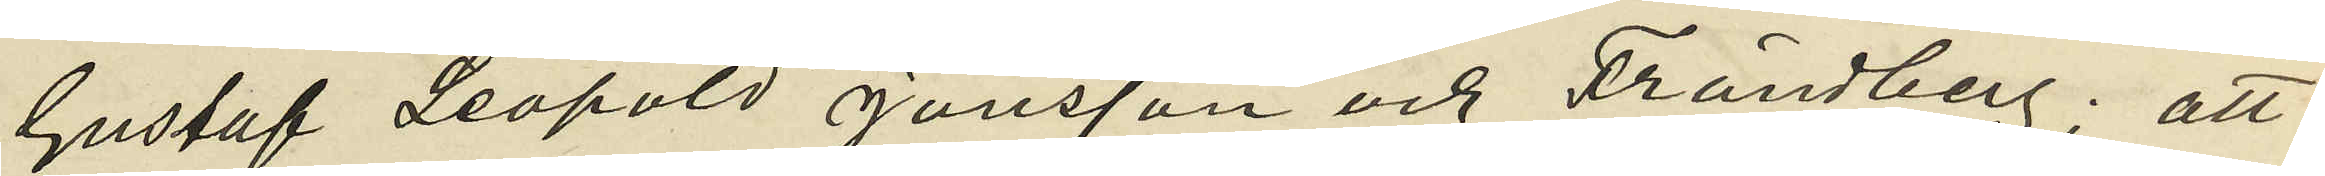Gustaf Leopold Jönsson och Frändberg; att
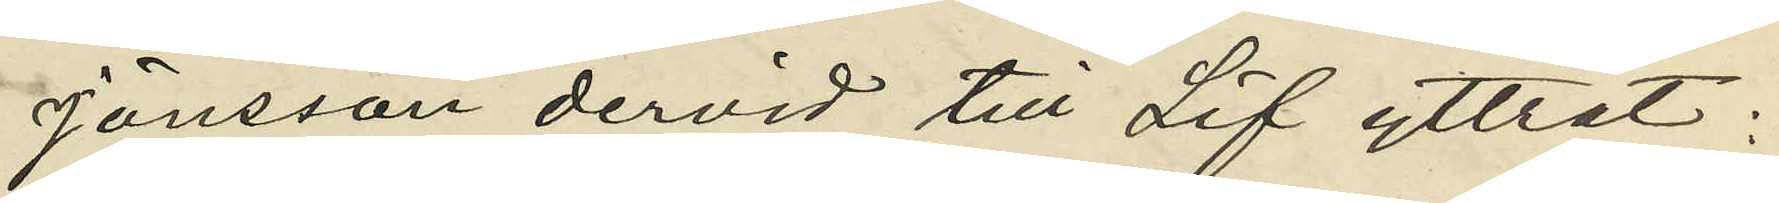Jönsson dervid till Lif yttrat:
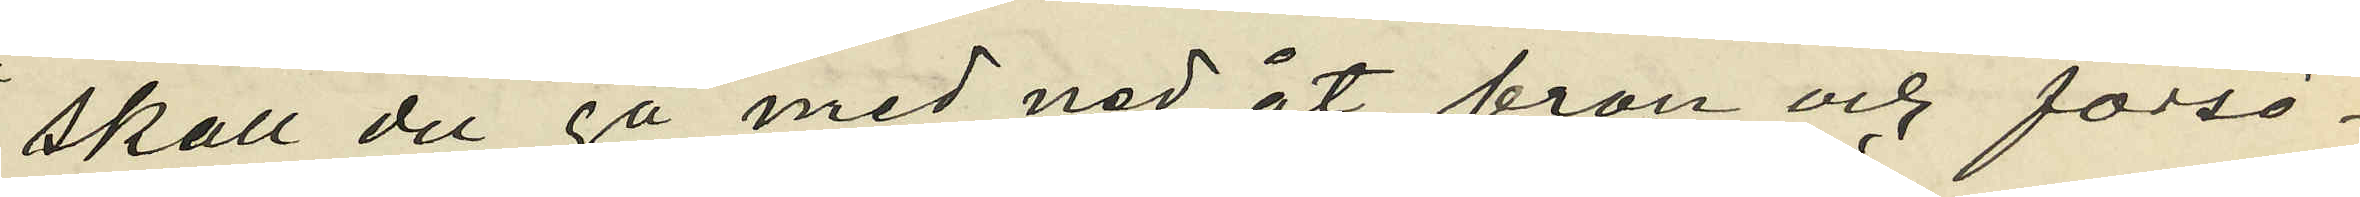"skall du gå med ned åt bron och försö¬
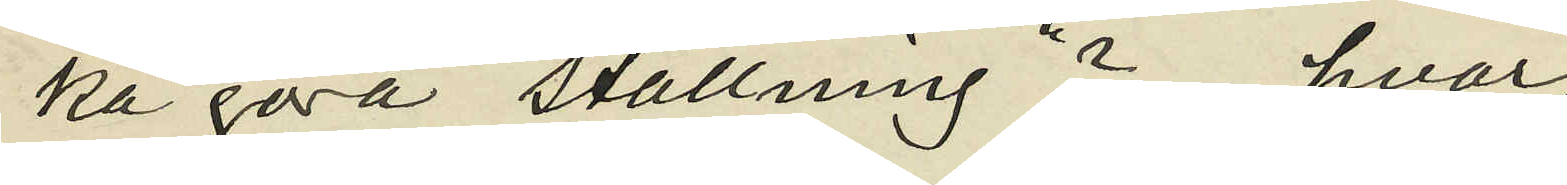ka göra ställning"?, hvar¬
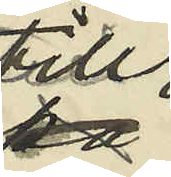till
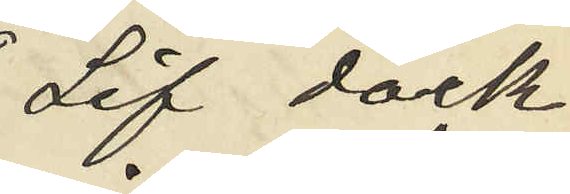Lif dock
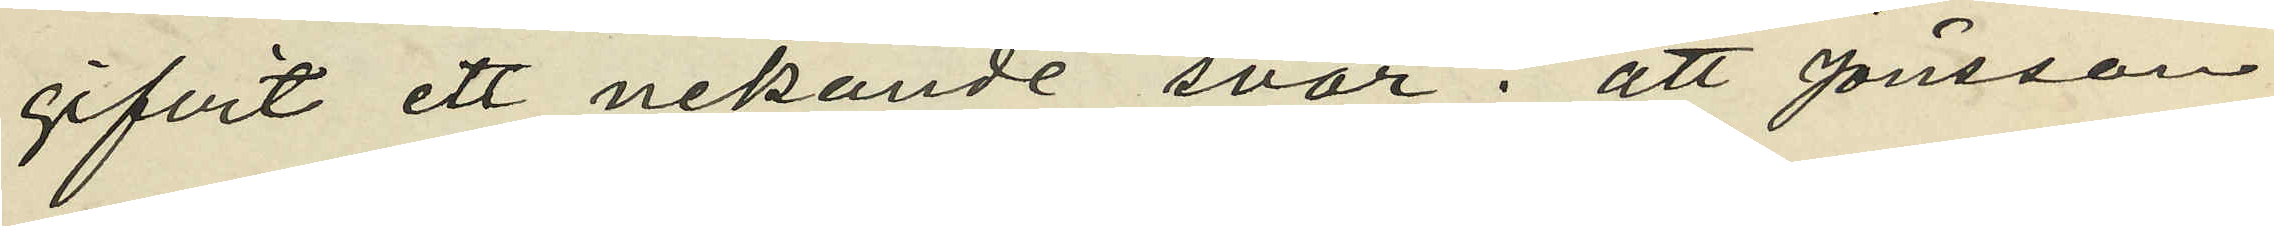gifvit ett nekande svar; att Jönsson
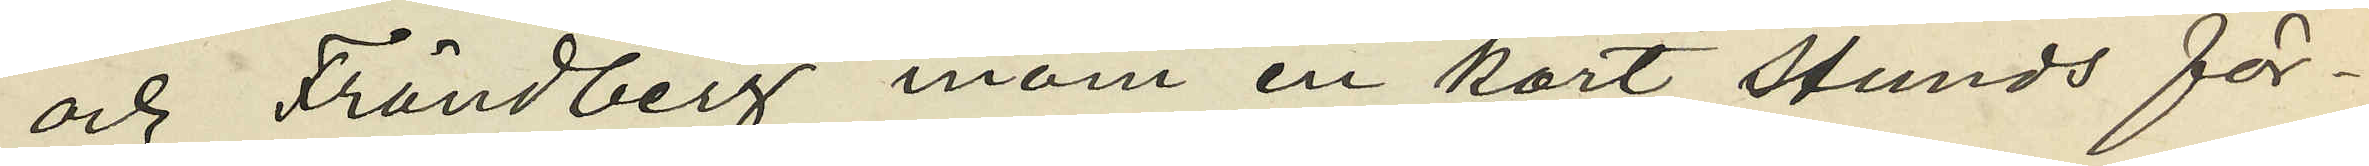och Frändberg inom en kort stunds för¬
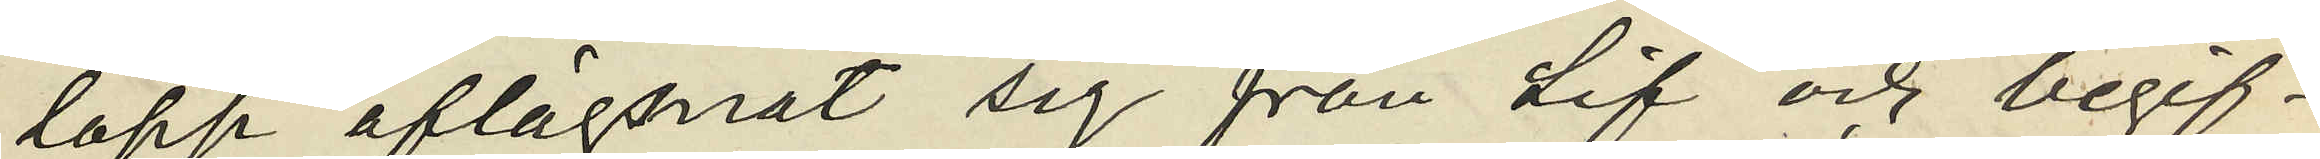lopp aflägsnat sig från Lif och begif¬
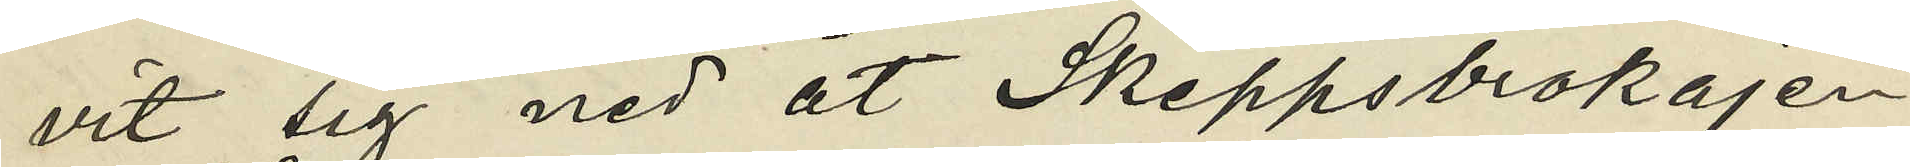vit sig ned åt Skeppsbrokajen
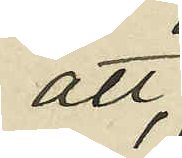att,
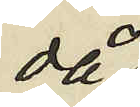då
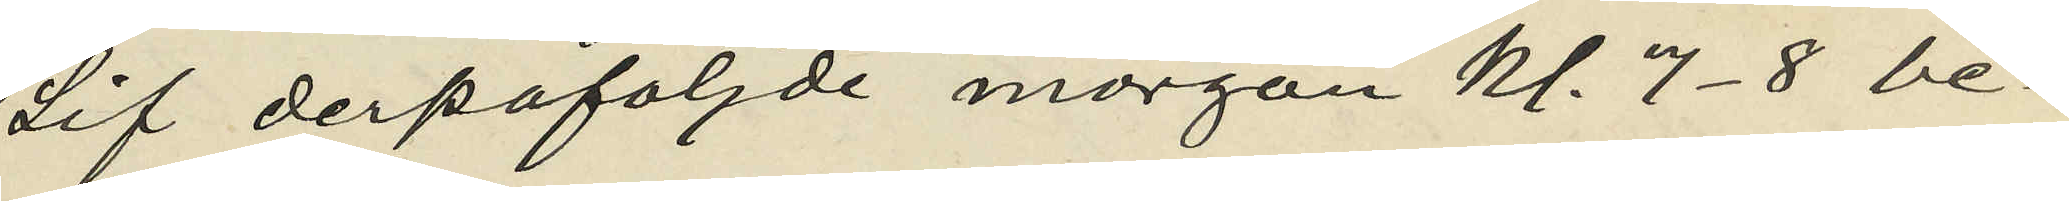Lif derpåföljde morgon kl. 7-8 be¬
